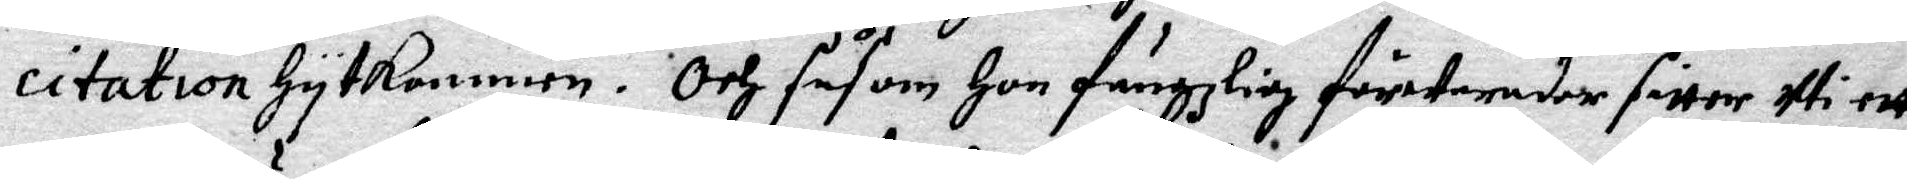citation hytkommen. Och såsom Hon fängzlig förwarader sitter Uti ett
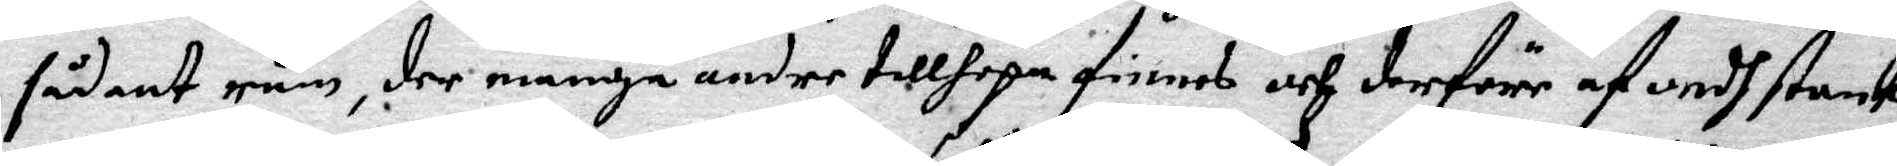sådant rum, der många andre tillhopa finnes och derföre af ondh stank
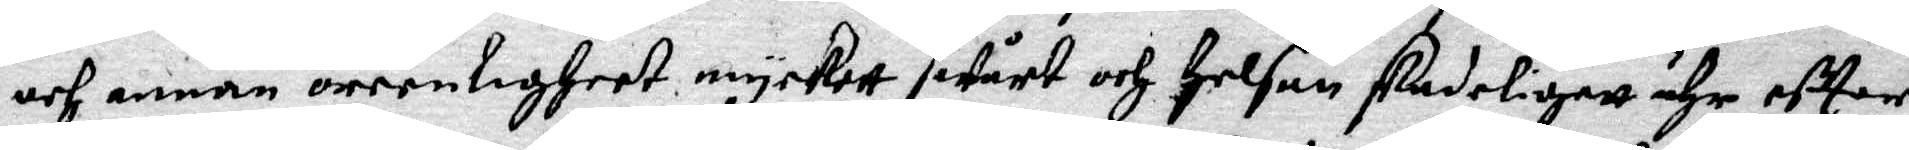och annan orenligheet myckett swprt och Helsan skadeligett ähr efter
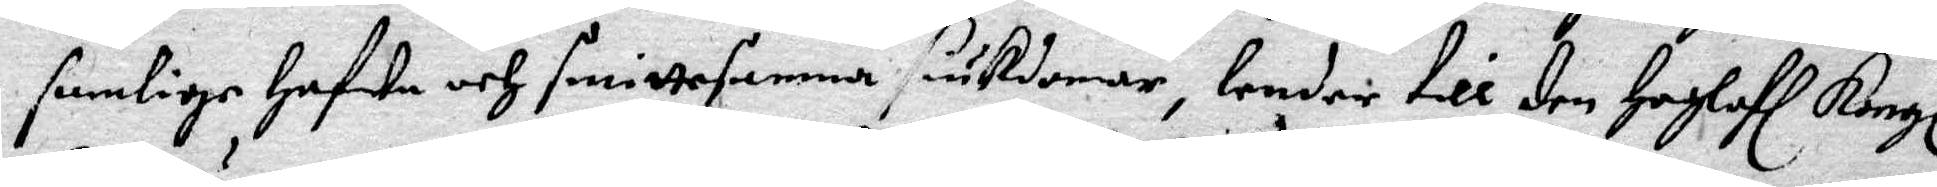somlige hafwe och smittsamma siukdomar, lender till den Höglofl Kongl.
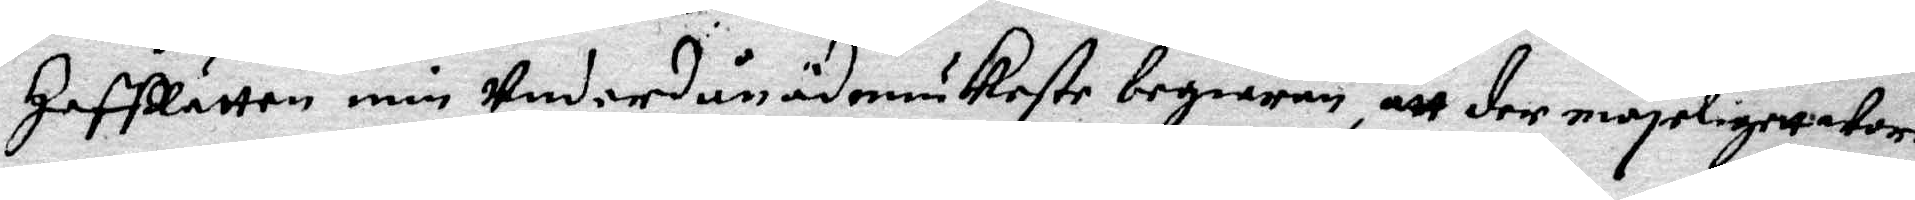HoffRätten min Underdånödmiukaste begiäran, att der möjeligett ware
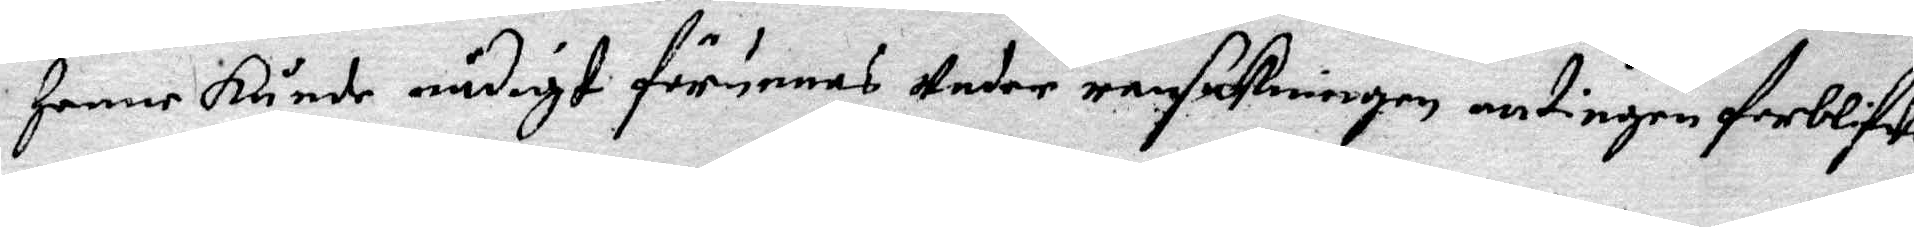henne kunde nådigt förunnas Under ransakningen antingen förblifwa
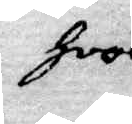hoos
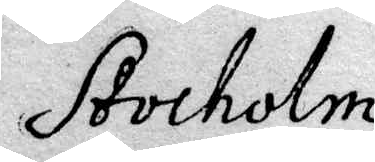Stocholm
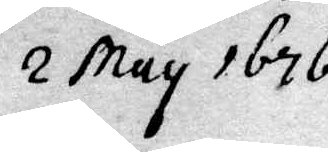2 May 1676.
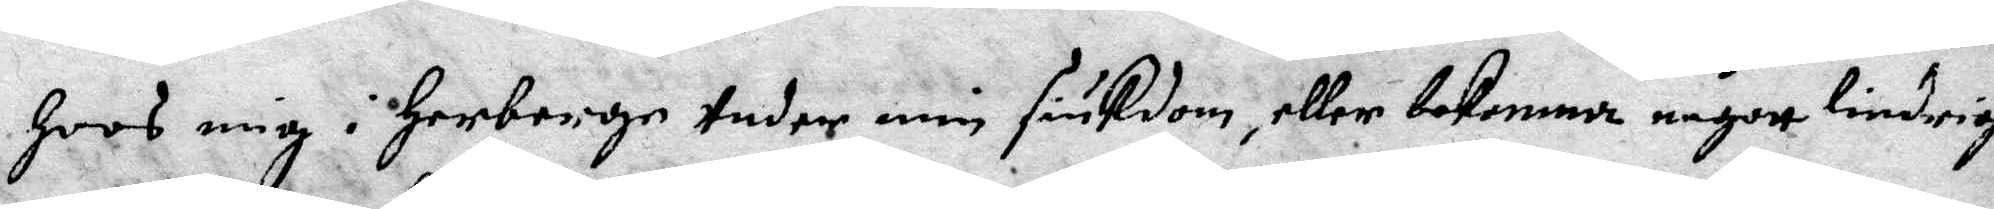hoos mig i Herberge Under min siukdom, eller bekomma någott lindriga¬
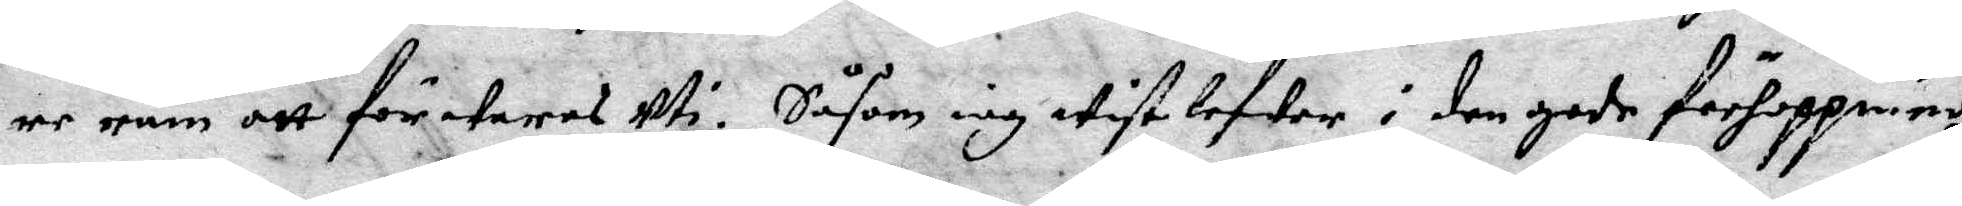re rum att förwaras Uti. Såsom iag wist lefwer i den gode förhoppning
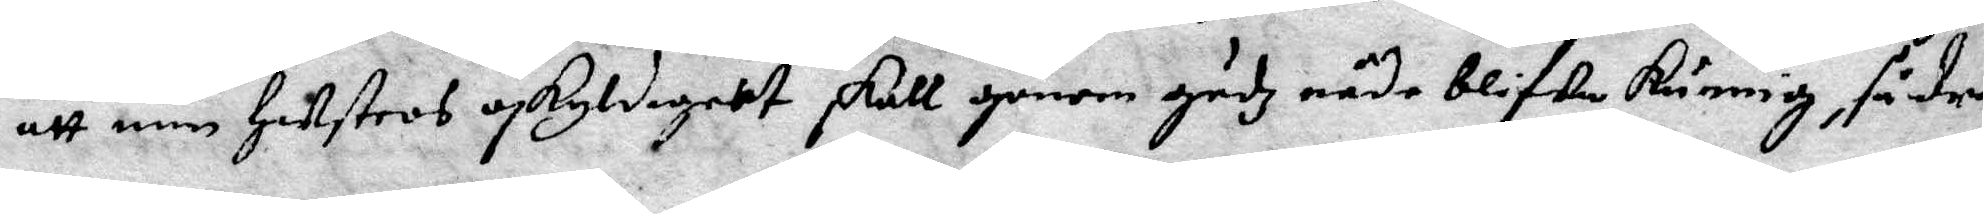att min Hustros oskyldigheet skall genom gudz nåde blifwa kunnig, så dra¬
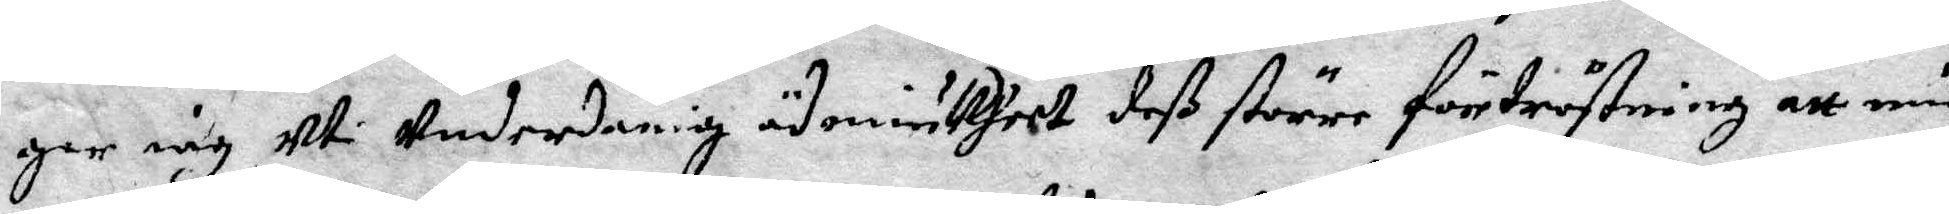ger iag Ut Undernanig ödmiukheet deß större förtröstning att min
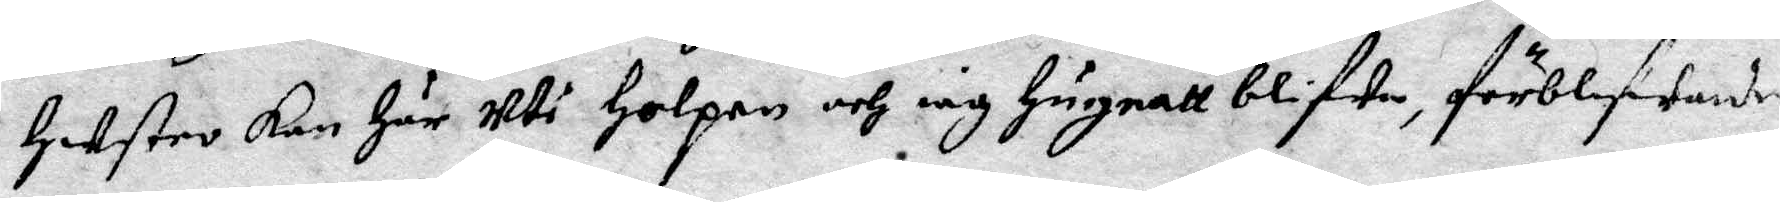Hustro kan Här Uti Holpen och iag Hugnatt blifwa, förblifwande
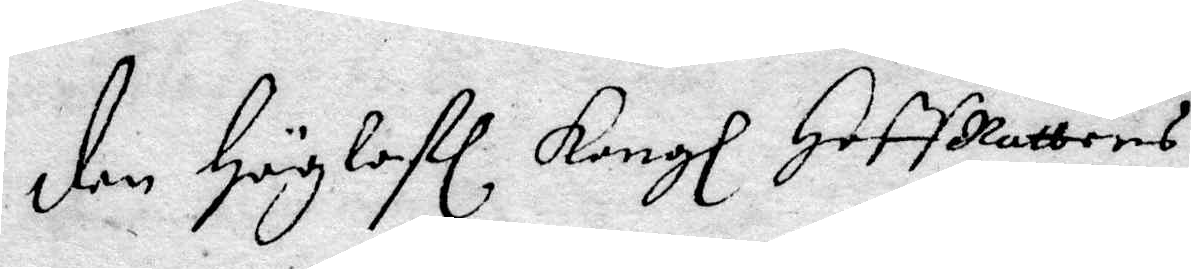den Höglofl Kongl HoffRättens
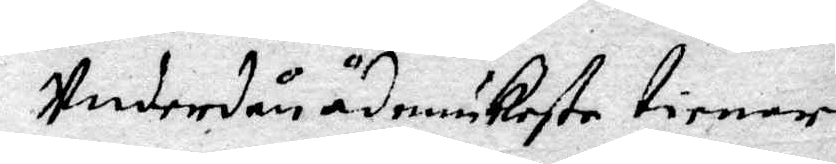Underdånödmiukaste tienare
